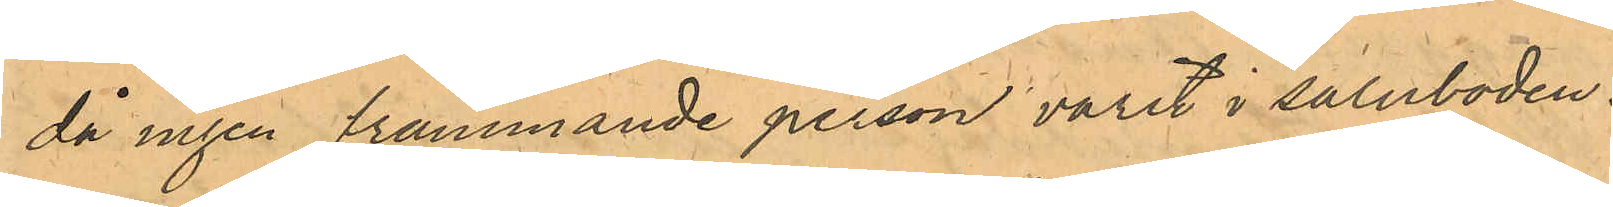då ingen främmande person varit i saluboden.
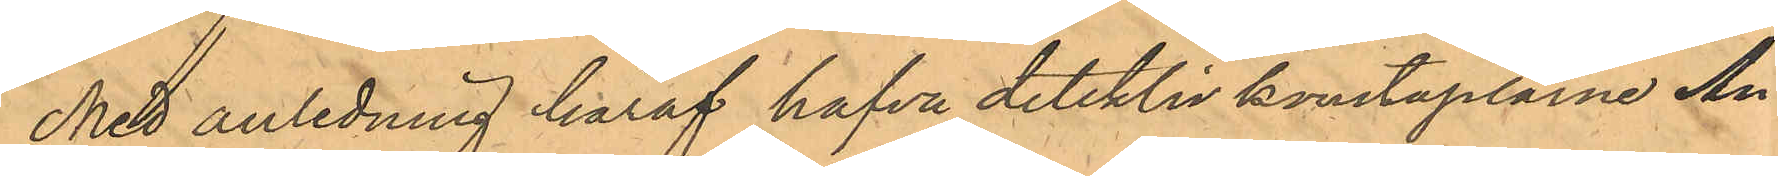Med anledning häraf hafva detektivkonstaplarne An¬
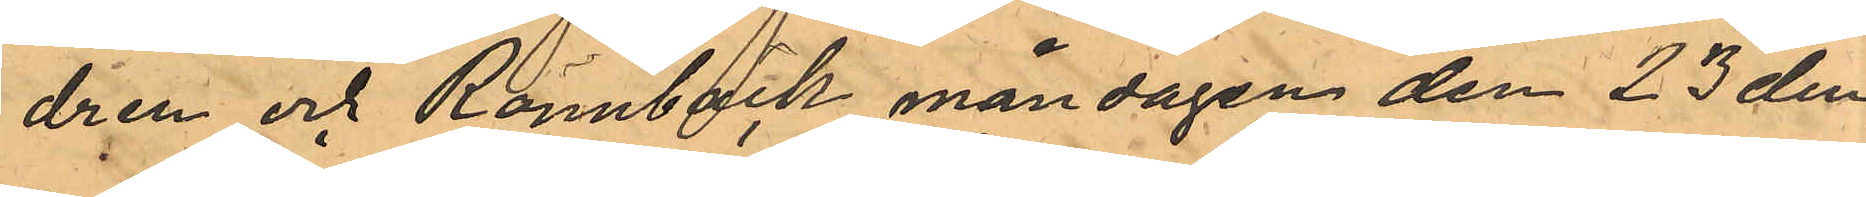dren och Rönnbäck måndagen den 23 den¬
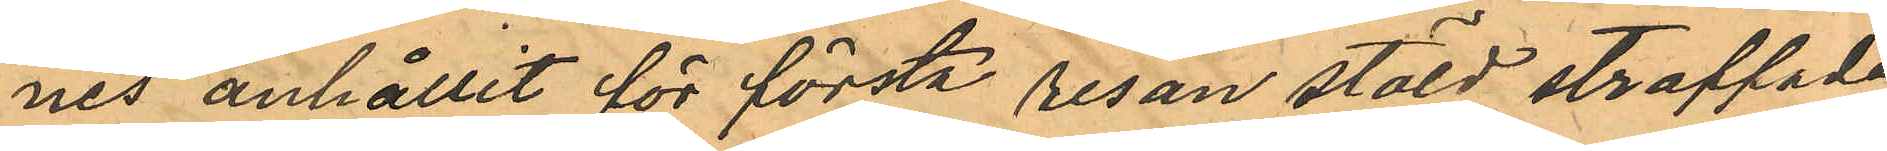nes anhållit för första resan stöld straffade
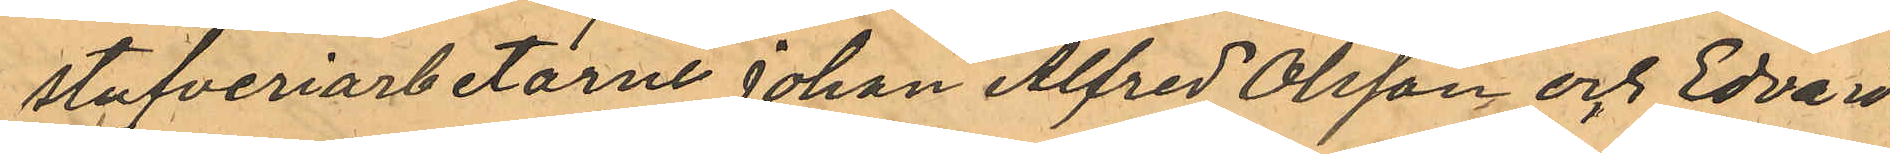stufveriarbetarne Johan Alfred Olsson och Edvard
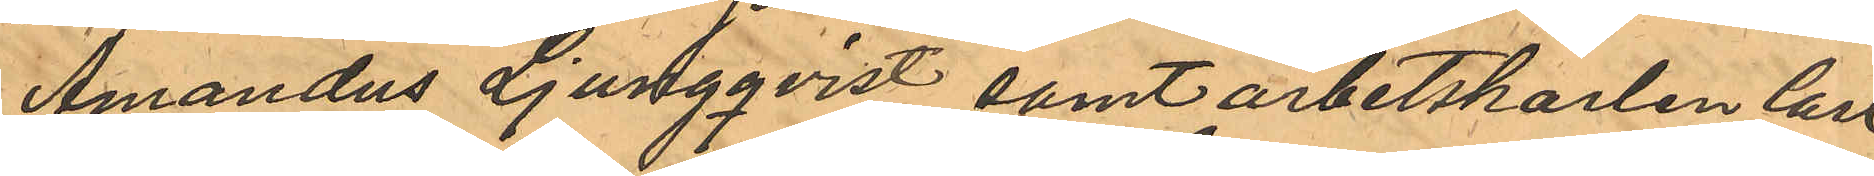Amandus Ljungqvist samt arbetskarlen Carl
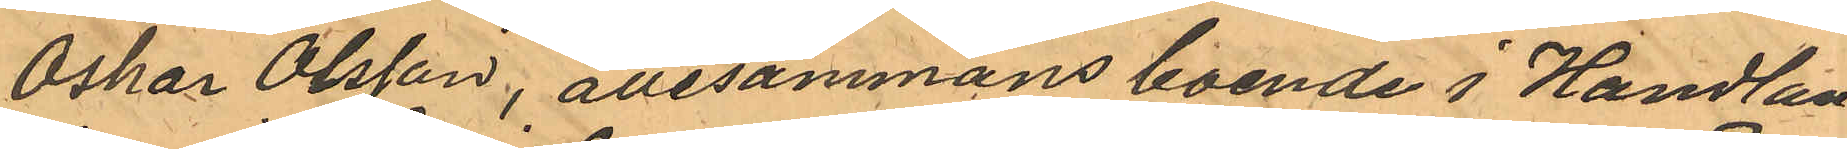Oskar Olsson, allesammans boende i Handlan¬
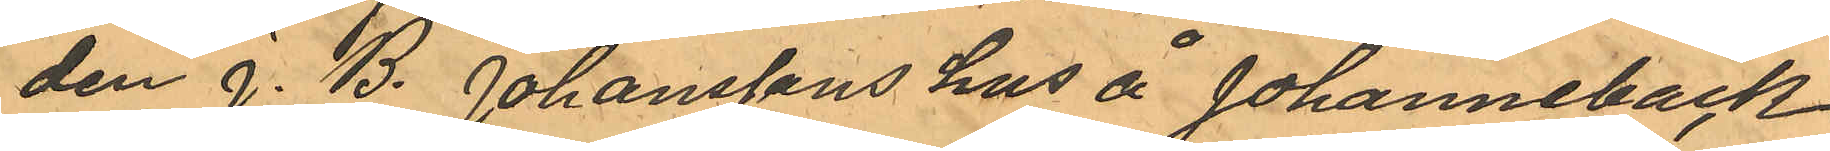den J. B. Johansson hus å Johannebäck
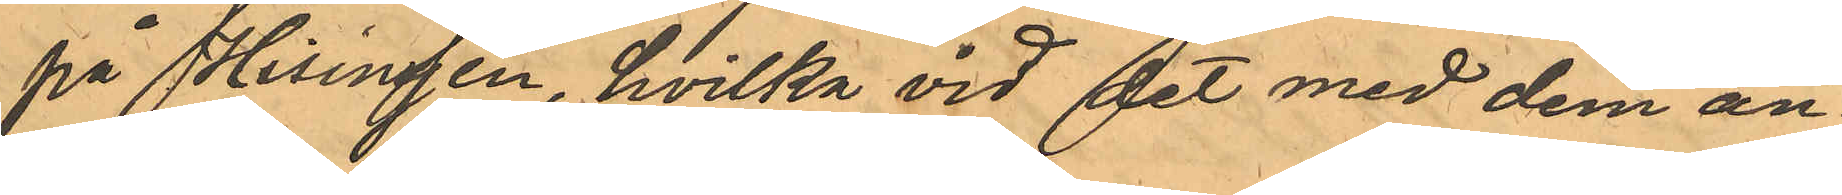på Hisingen, hvilka vid det med dem an¬
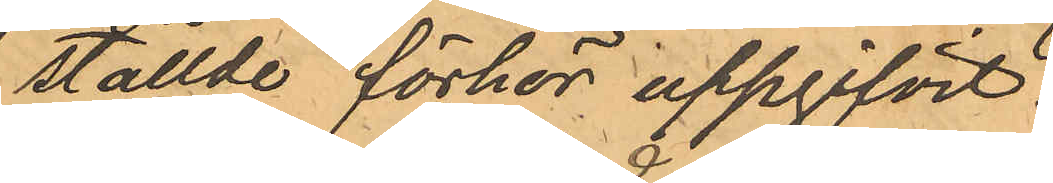ställde förhör uppgifvit:
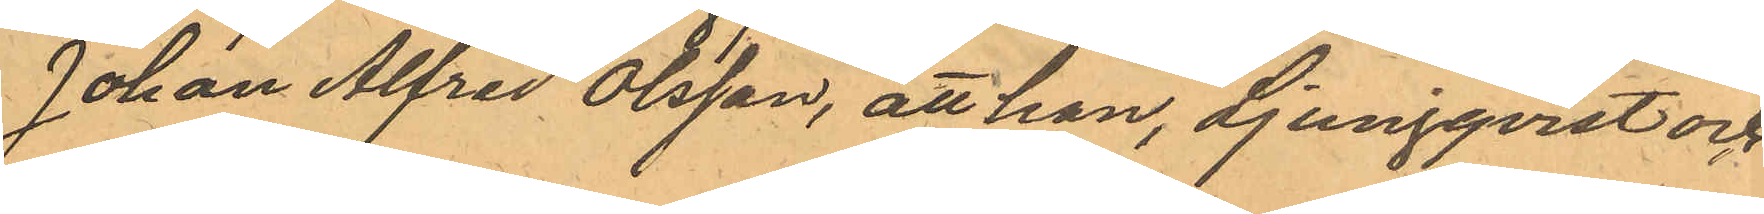Johan Alfred Olsson, att han, Ljungqvist och
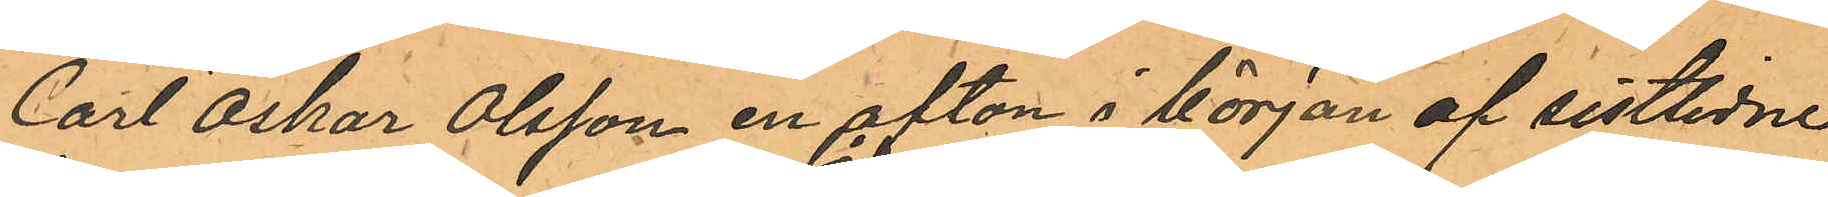Carl Oskar Olsson en afton i början af sistlidne
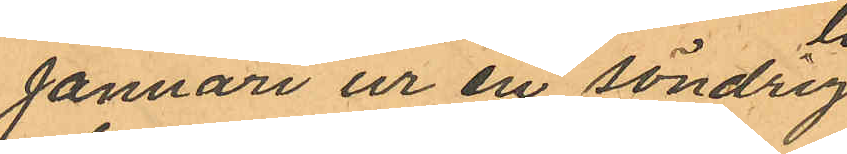Januari ur en söndrig
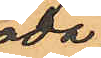låda
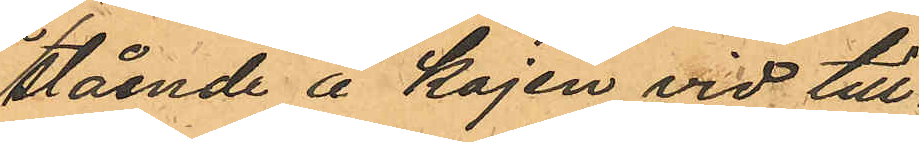stående å kajen vid vid tull¬
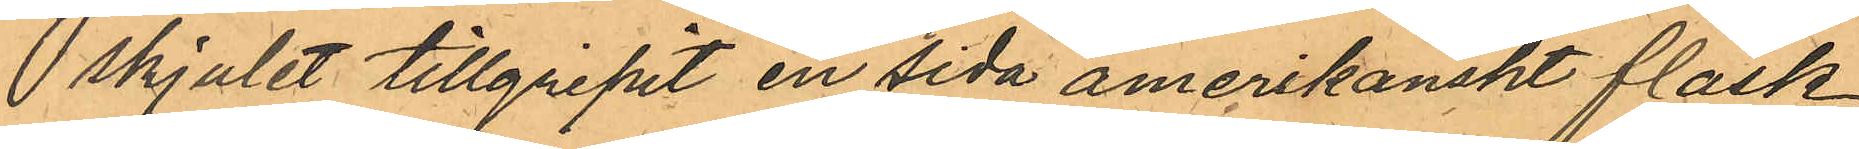skjulet tillgripit en sida amerikanskt fläsk
